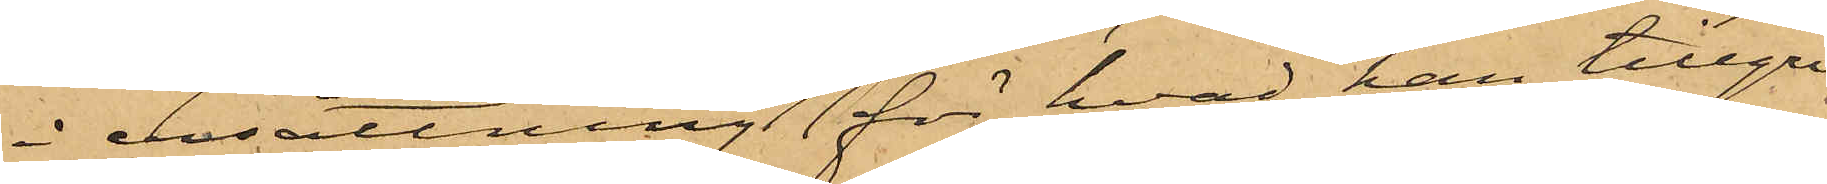i ersättning för hvad han tillgri¬
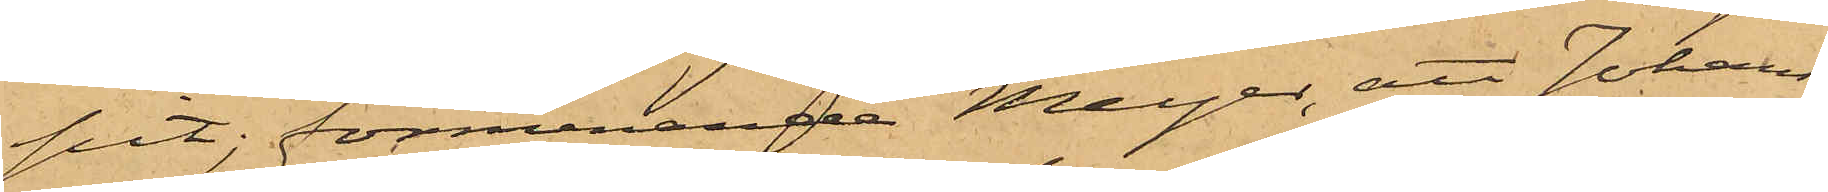pit; förmenande Meyer, att Johans¬
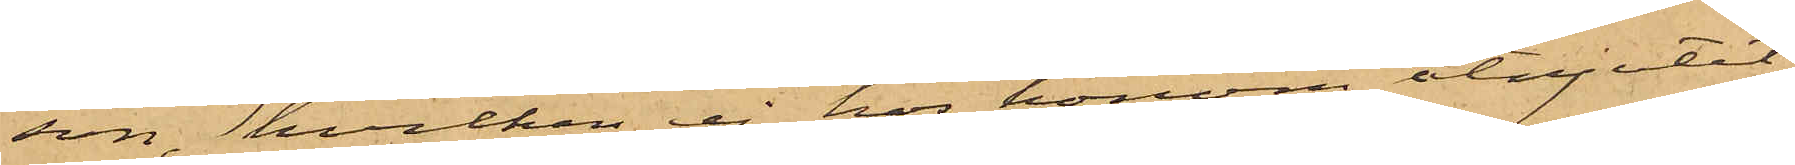son, hvilken ej hos honom åtnjutit
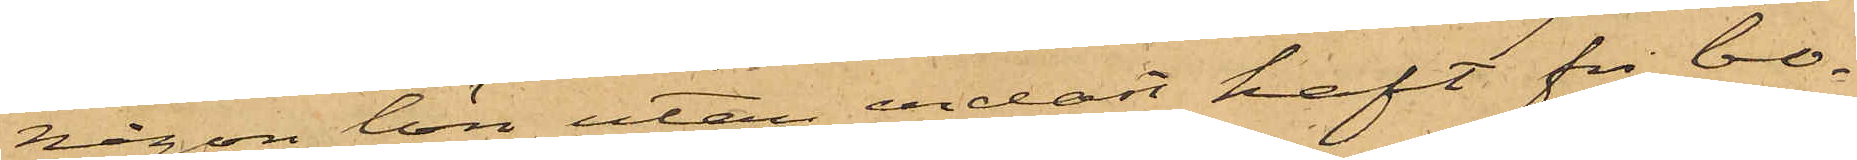någon lön utan endast haft fri bo¬
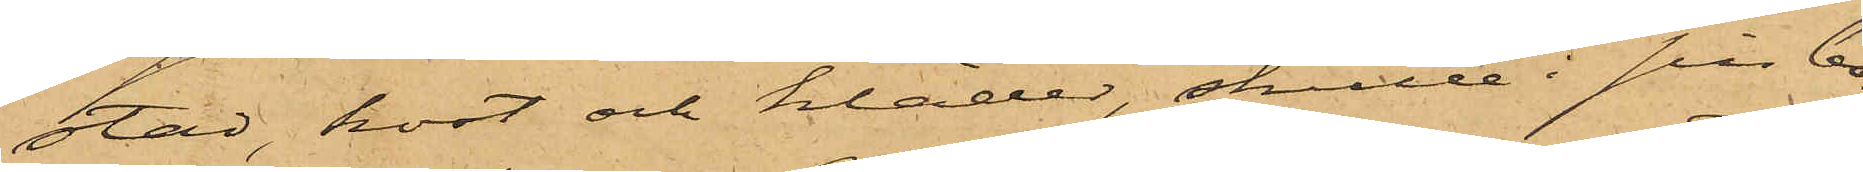stad, kost och kläder, skulle i sin bo¬
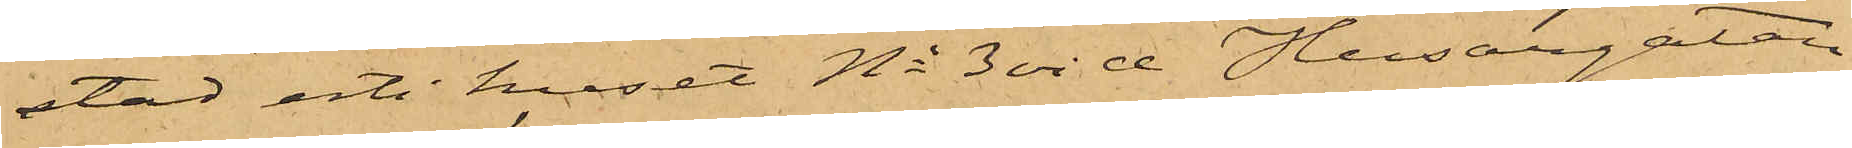stad uti huset No 3 vid Husargatan
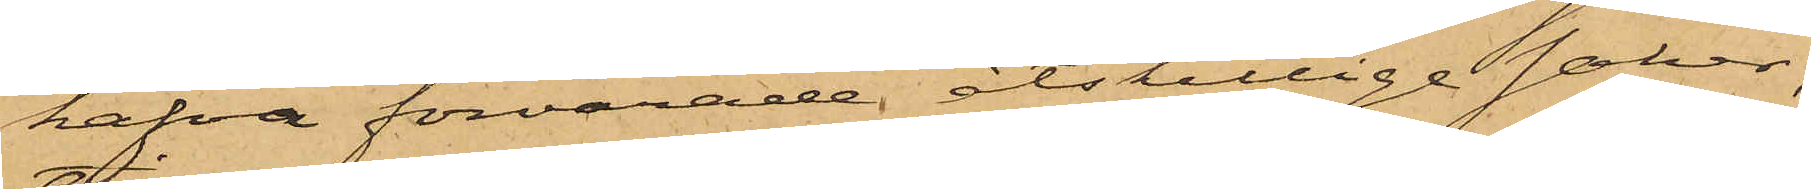hafva förvarade åtskillige saker,
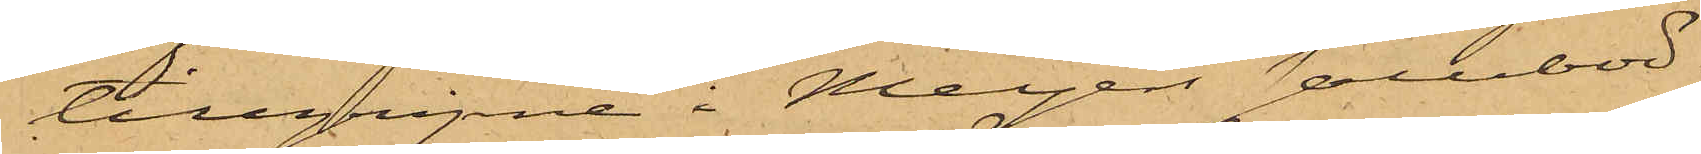tillgripne i Meyers salubod.
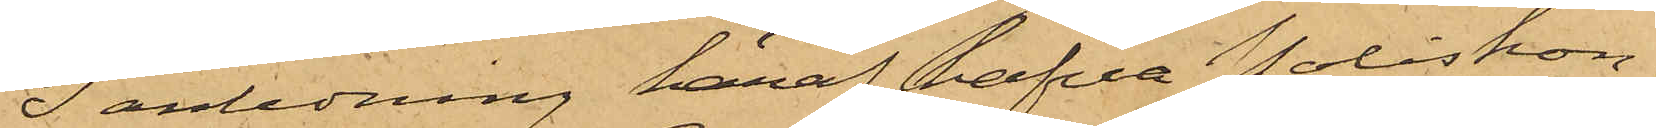I anledning häraf hafva Poliskon¬
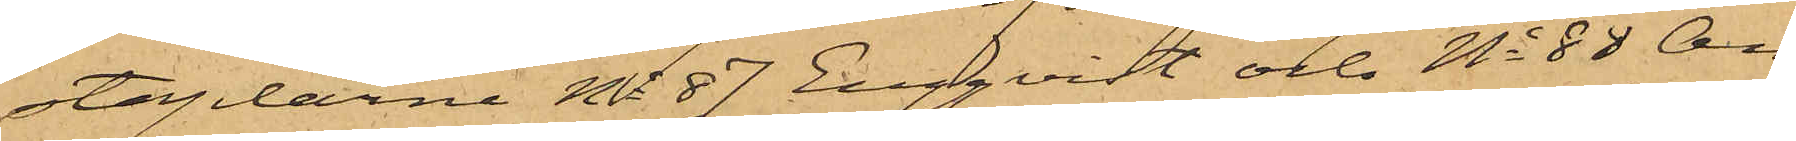staplarne No 87 Engqvist och No 88 An¬
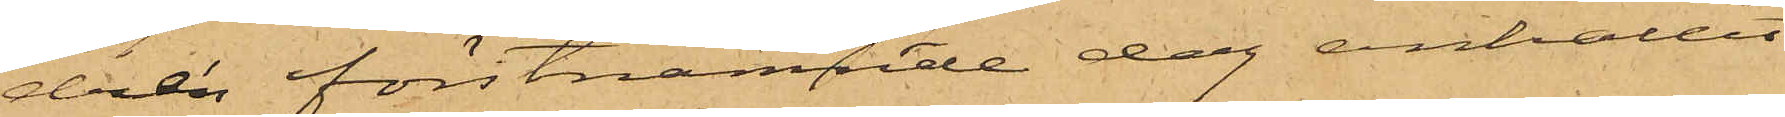drén förstnämnde dag anhållit
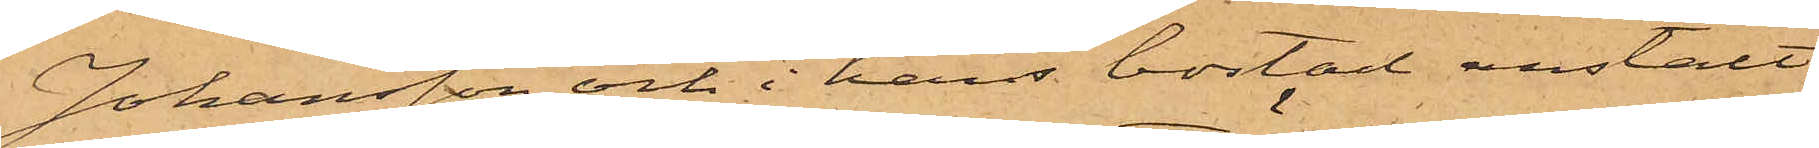Johansson och i hans bostad anstält
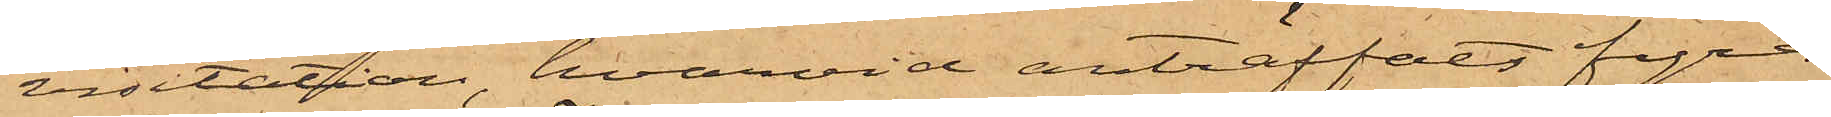visitation, hvarvid anträffats fyra
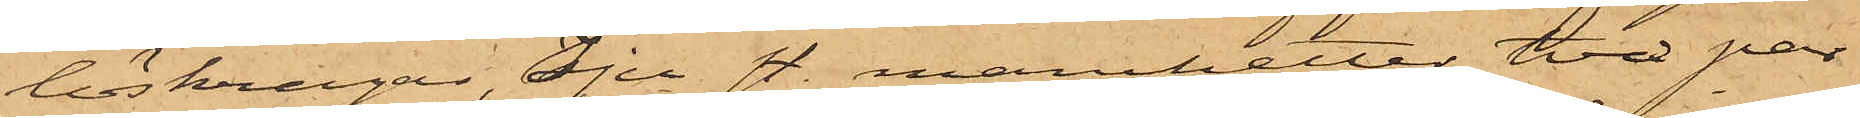löskragar, Sju st. manchetter, två par
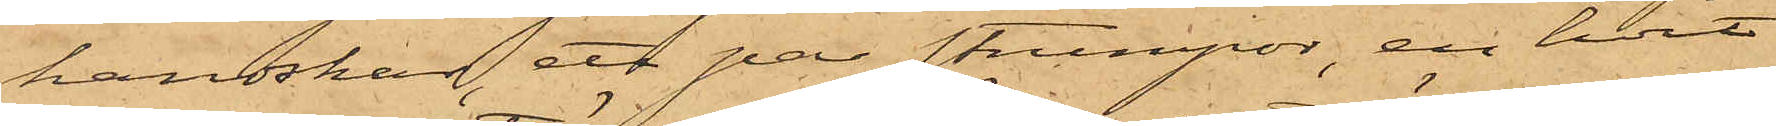handskar, ett par strumpor, en hvit
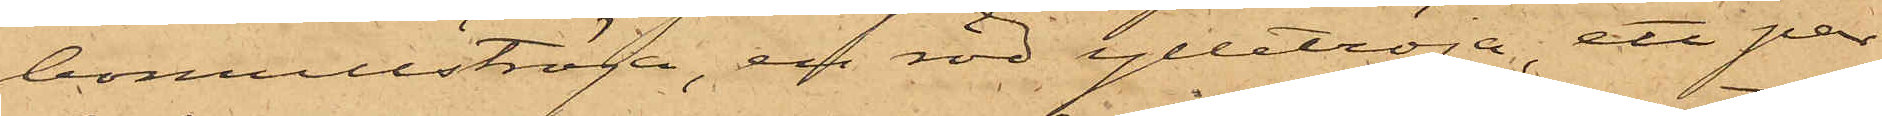bomullströja, en röd ylletröja, ett par
